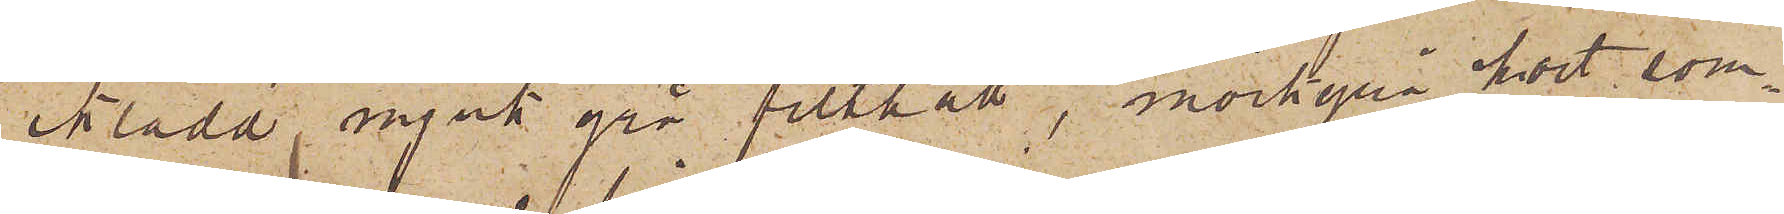iklädd mjuk grå filthatt, mörkgrå kort som¬
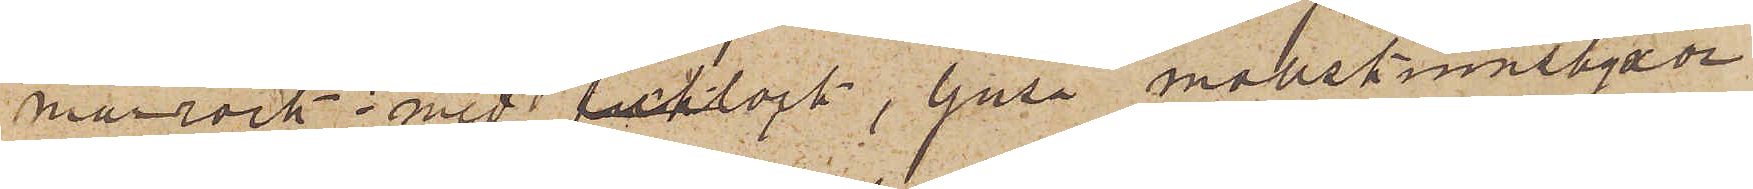marrock med ficklock, ljusa mollskinnsbyxor
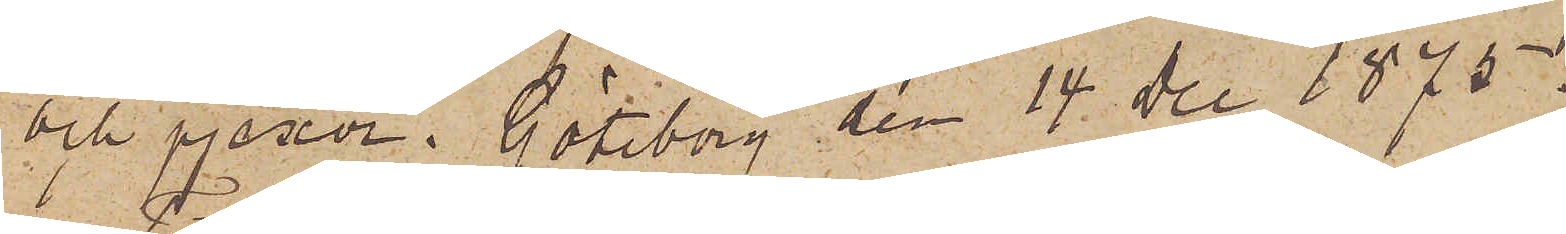och pjexor. Göteborg den 14 Dec 1875.
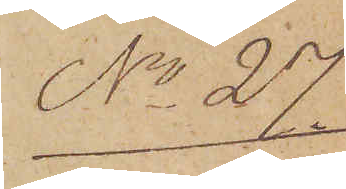No 27
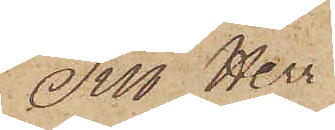Till Herr
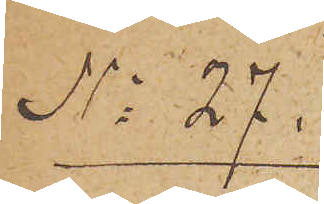No 27.
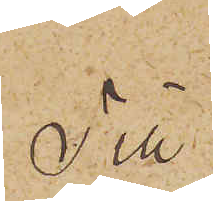Till
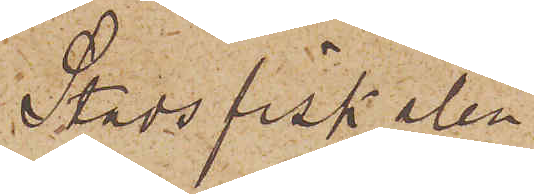Stadsfiskalen i
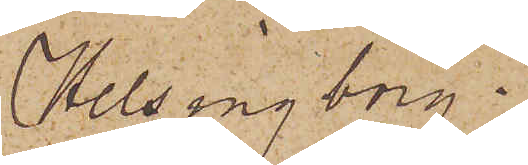Helsingborg.
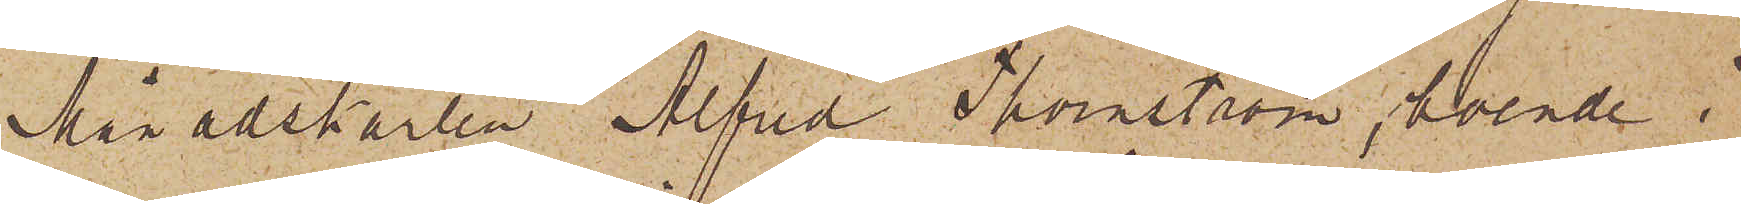Månadskarlen Alfred Thornström, boende i
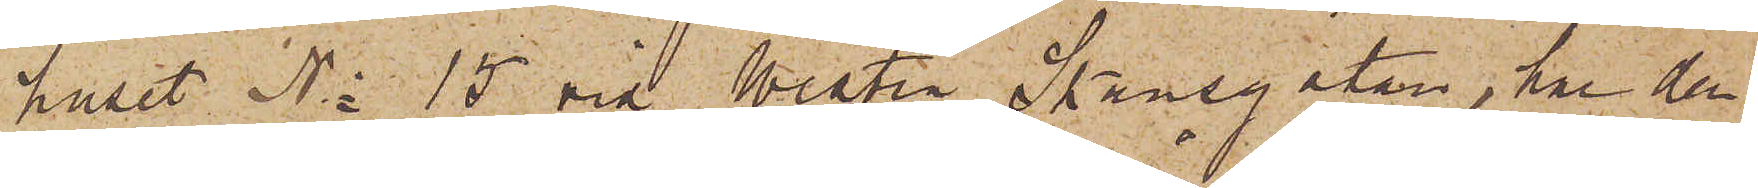huset No 15 vid Westra Skansgatan, har den
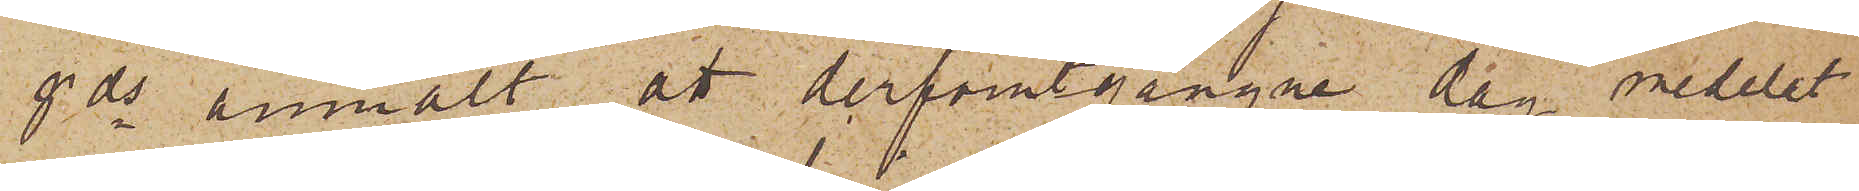8 ds anmält att derförutgångne dag medelst
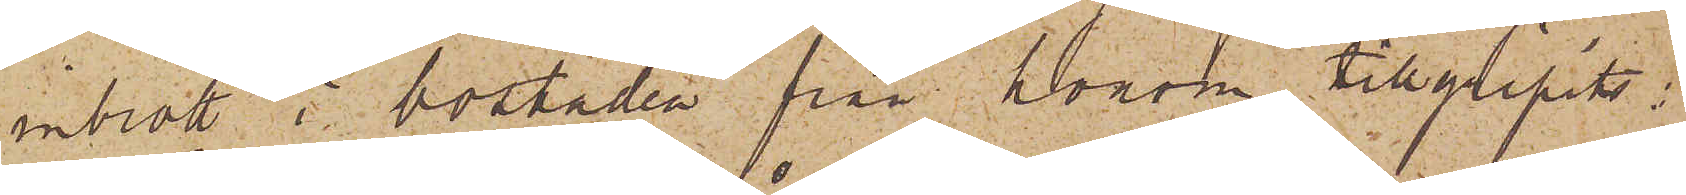inbrott i bostaden från honom tillgripits:
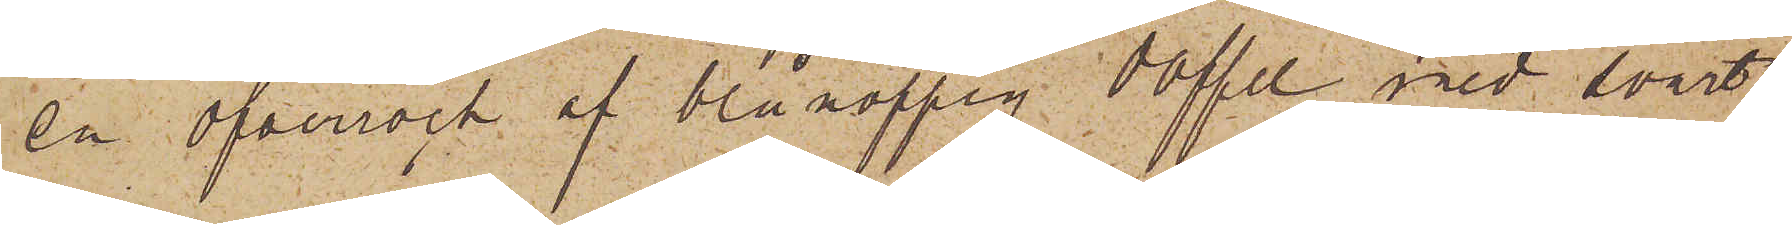en öfverrock af blå noppig doffel med svart
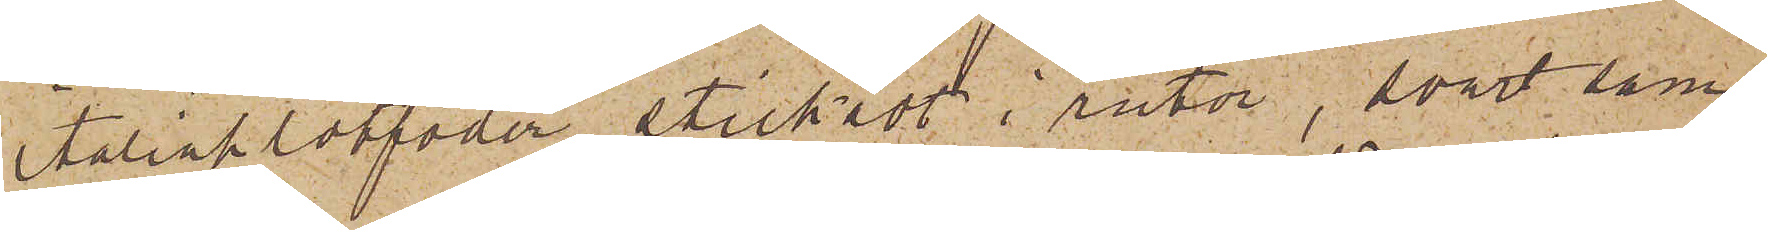italiaklotfoder stickadt i rutor, svart sam¬
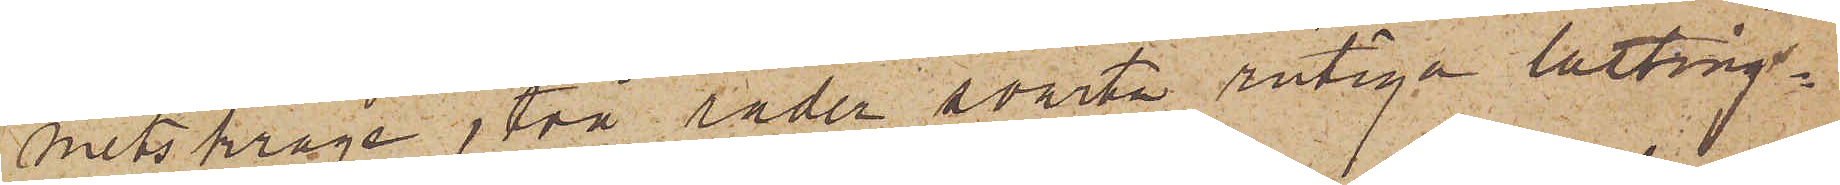metskrage, två rader svarta rutiga lasting¬
